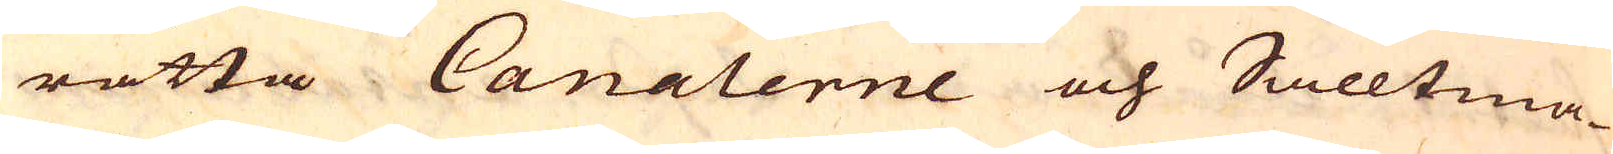rätta Canalerne och Salltma-
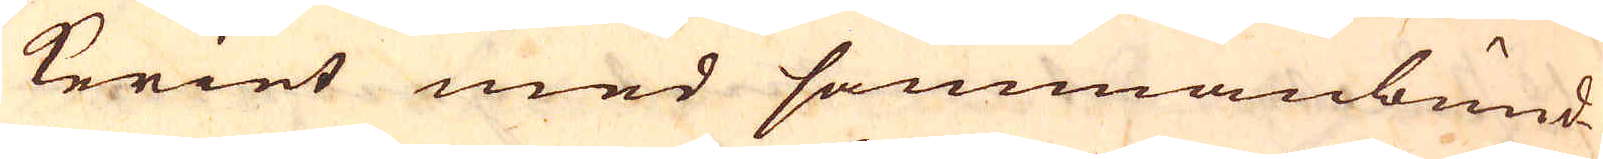keriet med sammanbund-
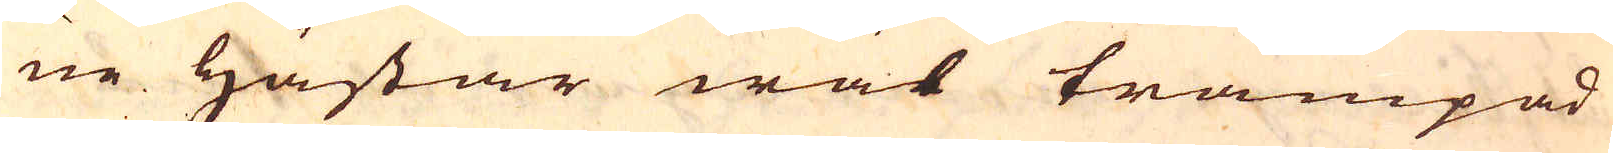ne hästar wäl trampad
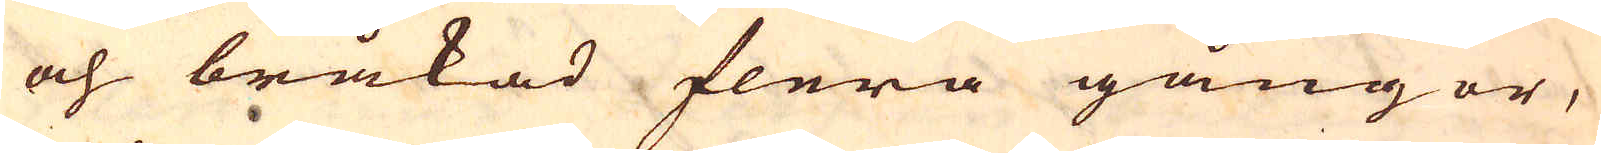och bråkad flera gångor,
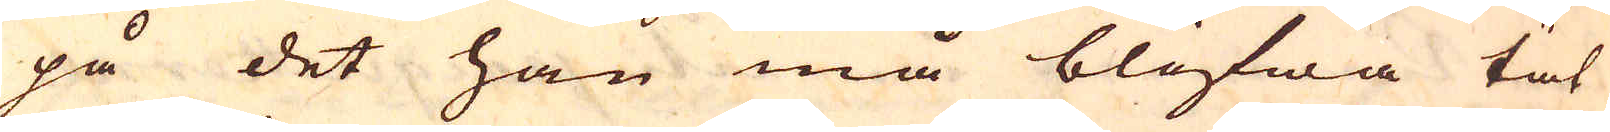på det han må blifwa tät
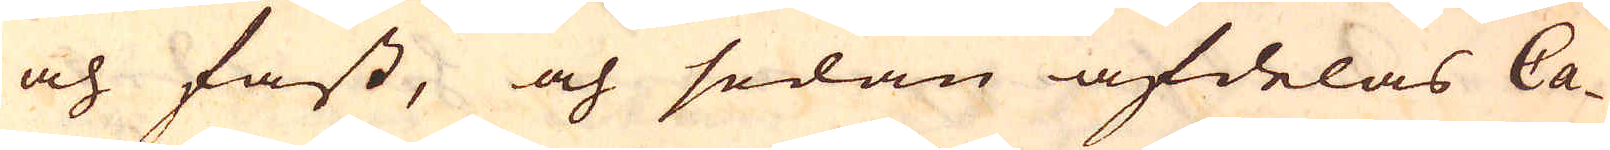och fast, och sedan afdelas Ca-
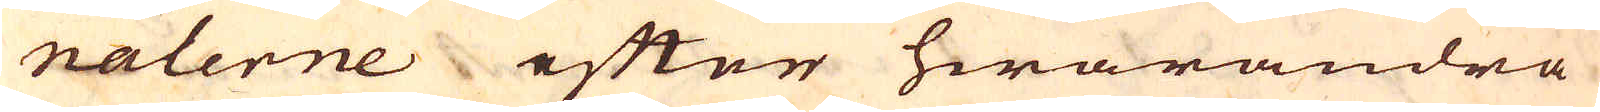nalerne efter hwarandra
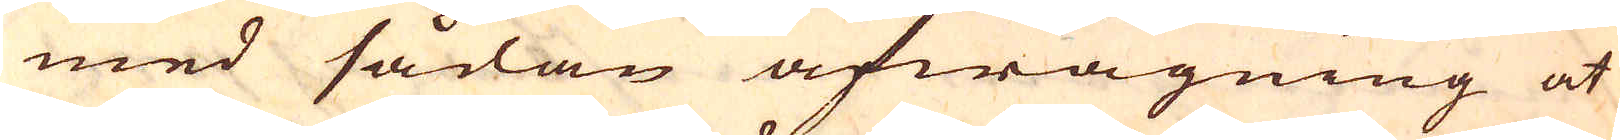med sådan afwägning at
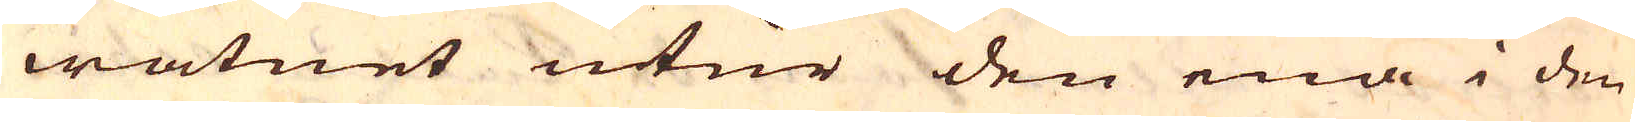watnet utur den ena i den
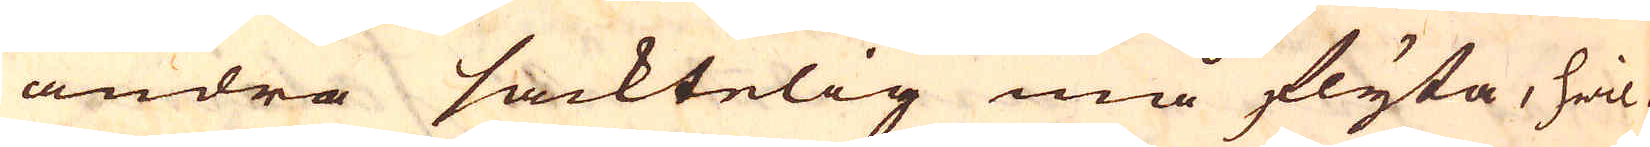andra sacktelig må flyta, hwil-
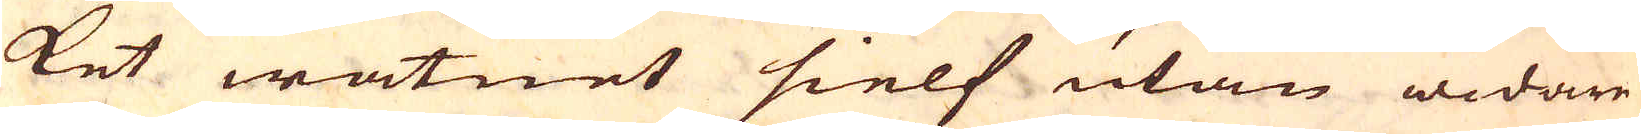ket watnet sielf utan widare
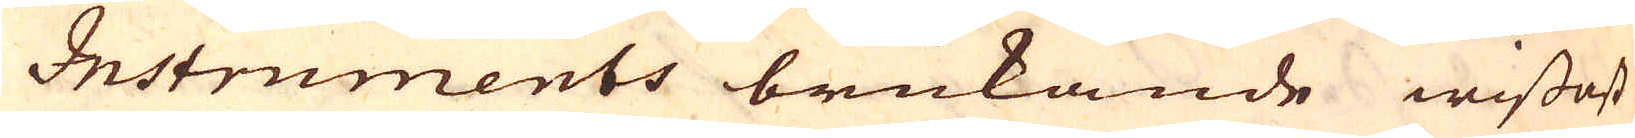Instruments brukande wissast
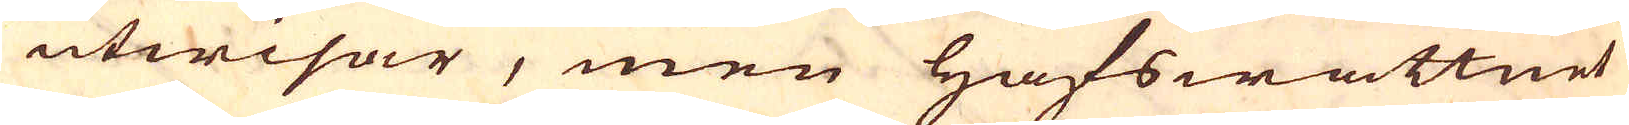utwisar, men Hafswattnet
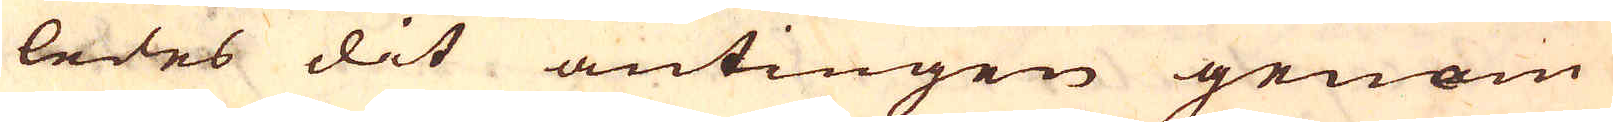ledes dit antingen genom
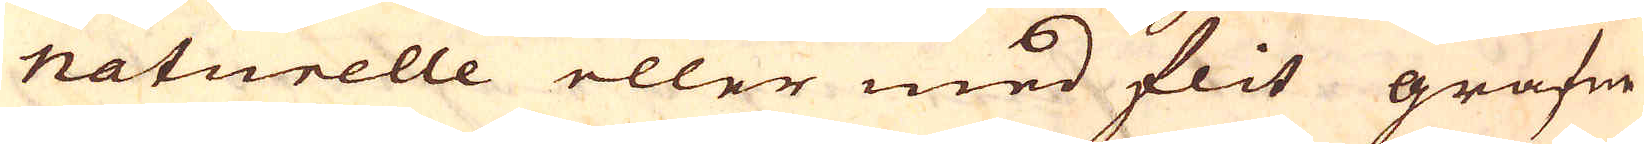naturelle eller med flit grafne
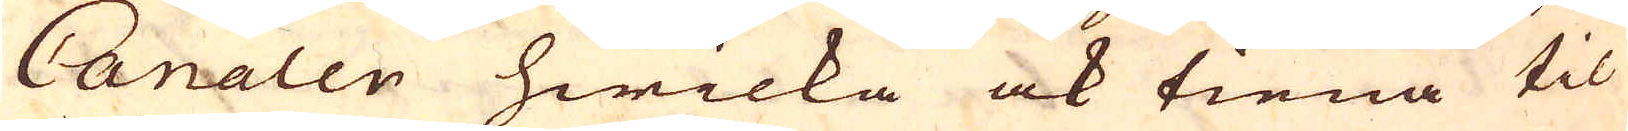Canaler hwilka ock tiena til
